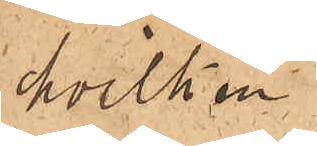hvilken
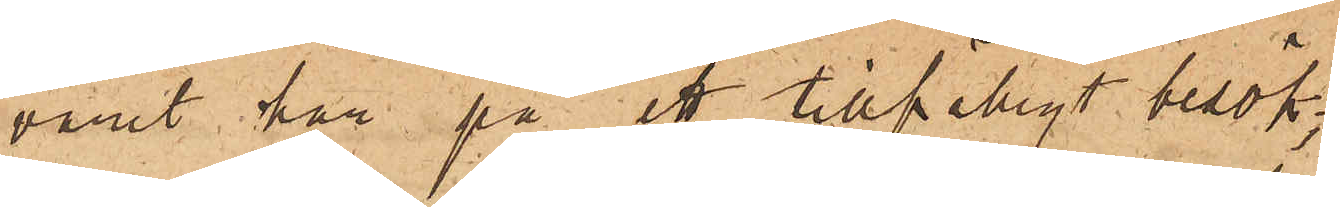varit här på ett tillfälligt besök;
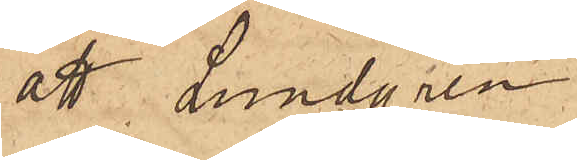att Lundgren
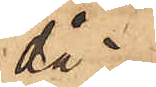då
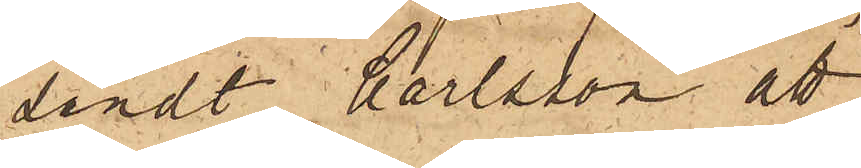sändt Carlsson att
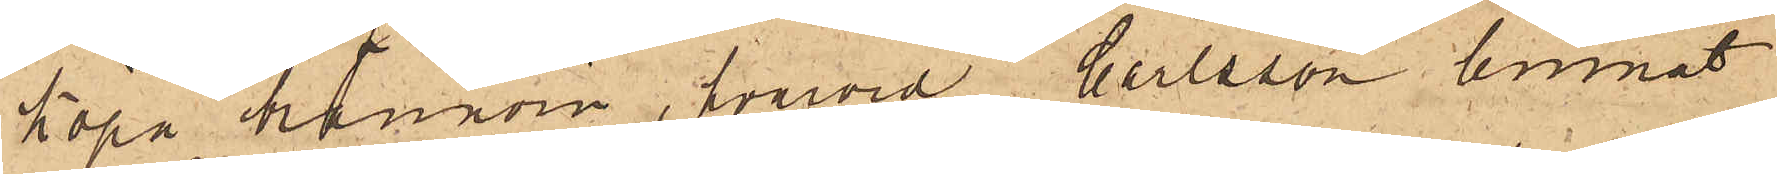köpa brännvin, hvarvid Carlsson lemnat
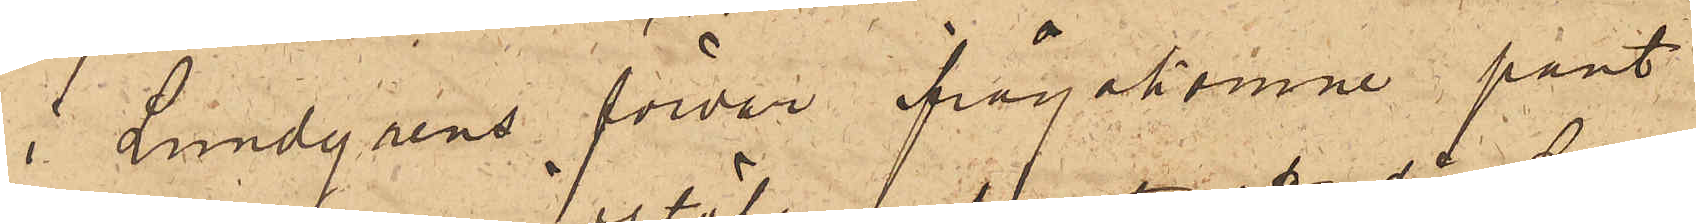i Lundgrens förvar ifrågakomne pant¬
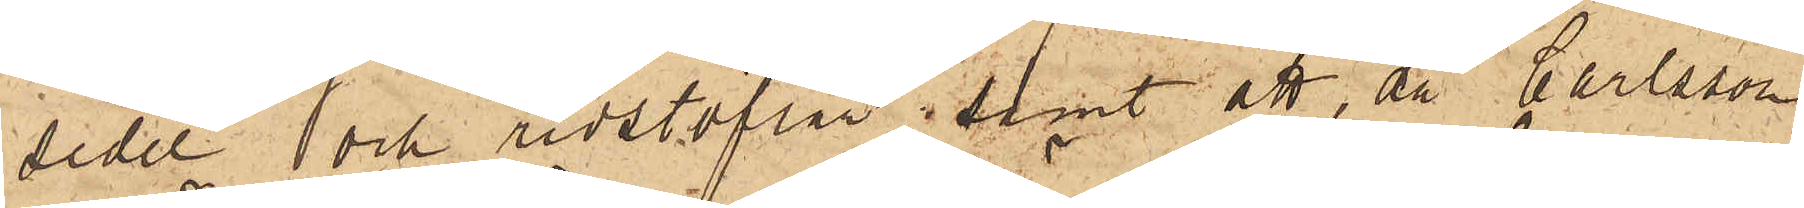sedel och ridstöflar; samt att, då Carlsson
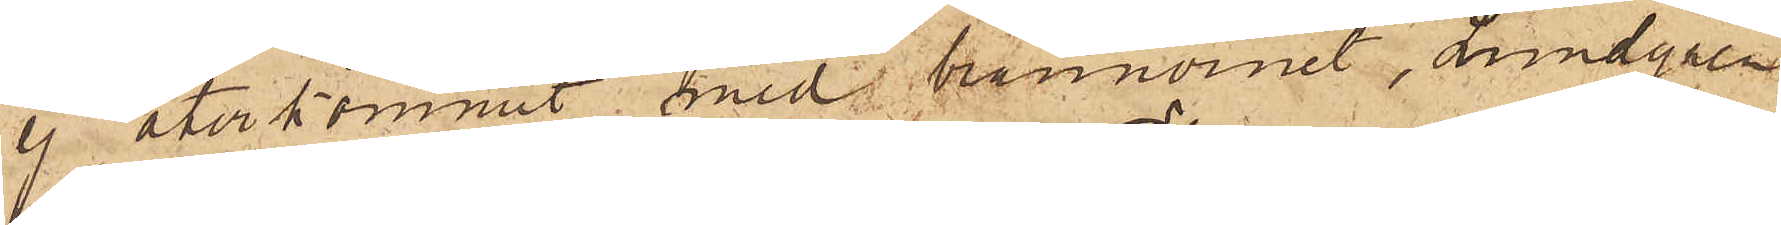ej återkommit med brännvinet, Lundgren
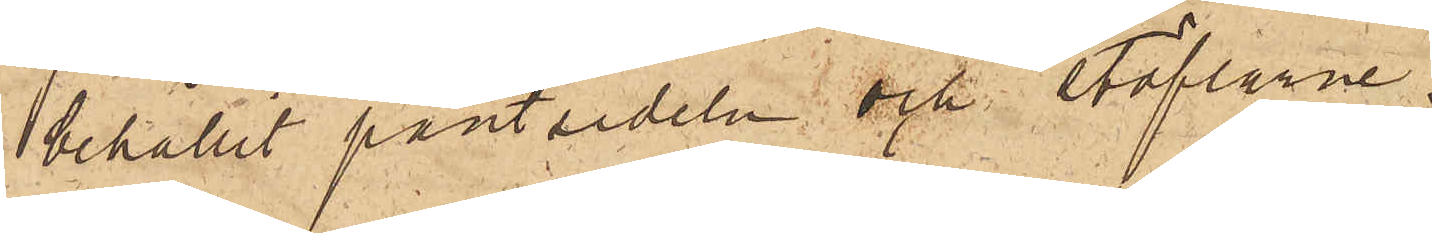behållit pantsedeln och stöflarne.
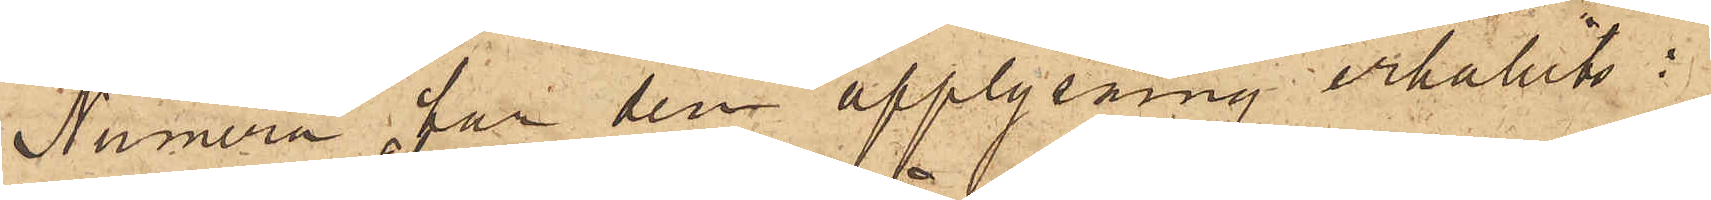Numera har den upplysning erhållits:
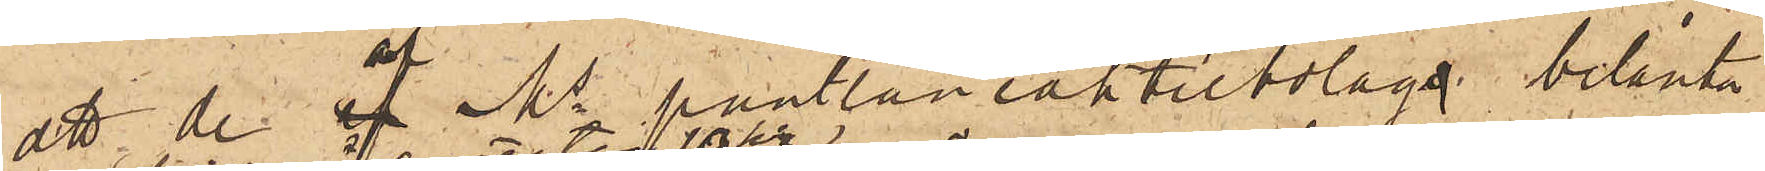att de å Ms pantlåneaktiebolag belånta
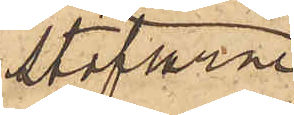stöflarne
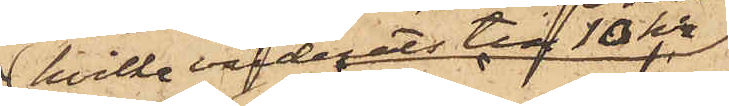 hvilka värderats till 10 Kr
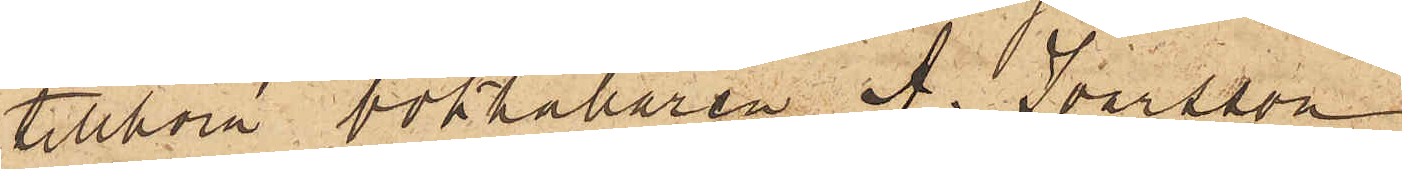tillhöra bokhållaren A. Ivarsson,
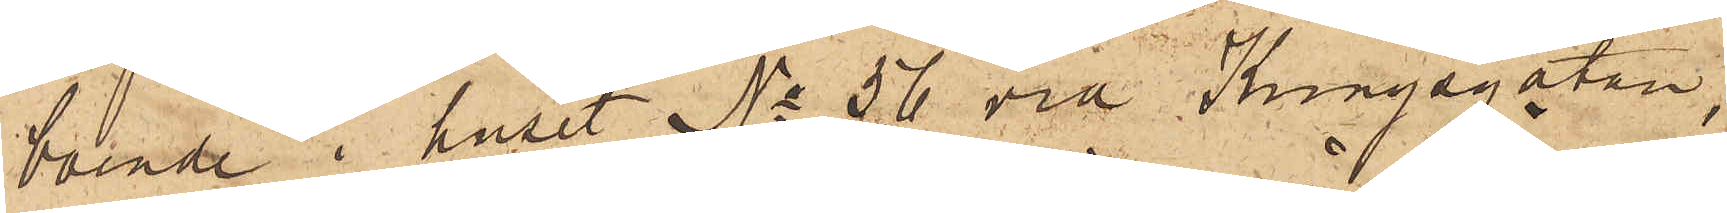boende i huset No 56 vid Kungsgatan,
